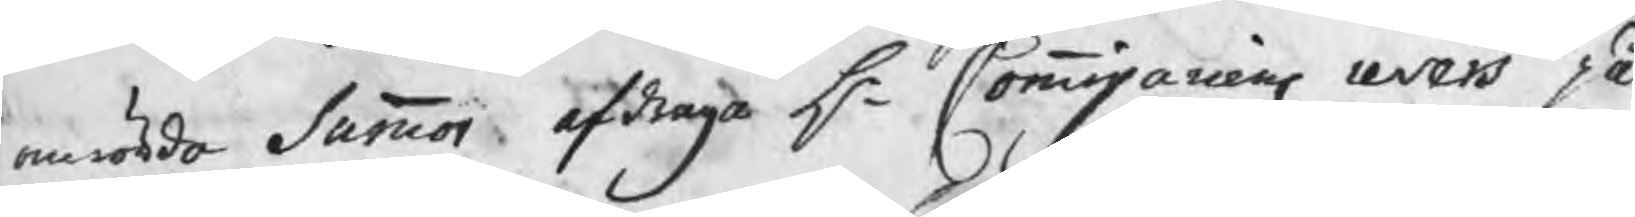omrörde Summor afdraga Hr Commissariens revers på
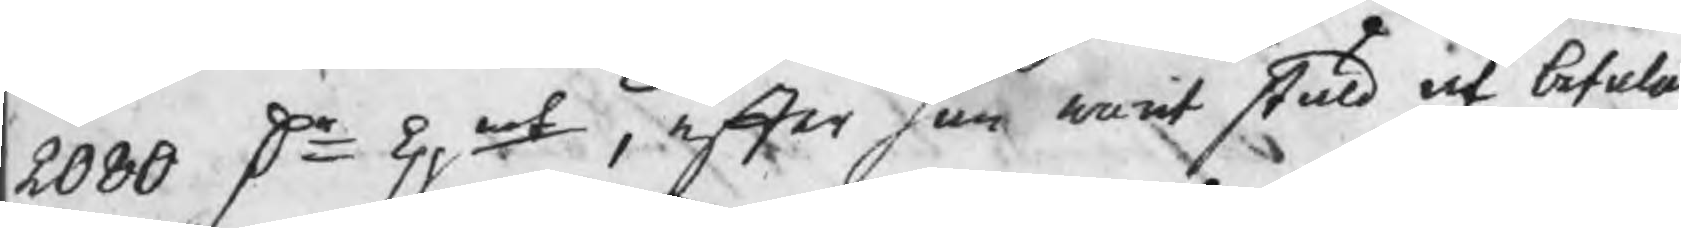2080 Dr kpmt, efter han warit stäld at betalas
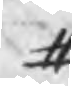#
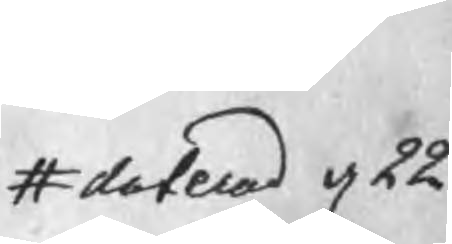# daterad d 22
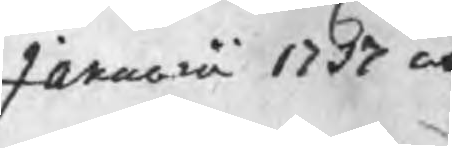Januarii 1737 och
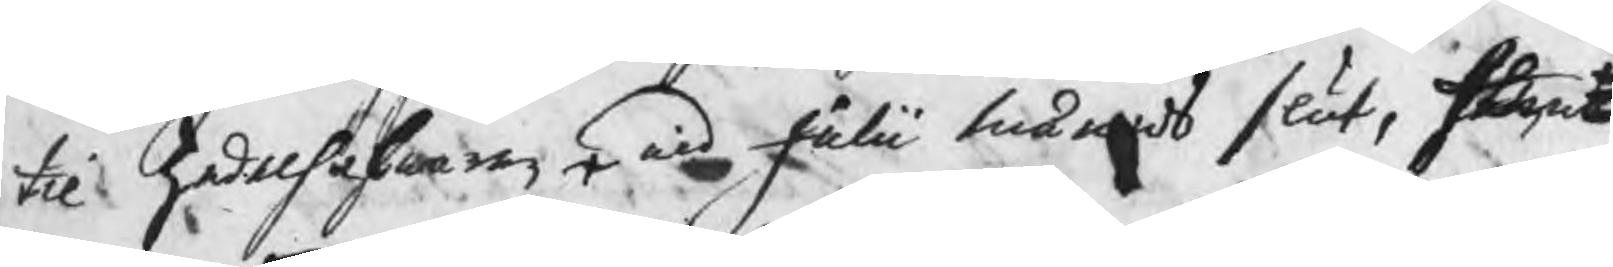til Zedelhafwaren wid Julii månads slut, hwen
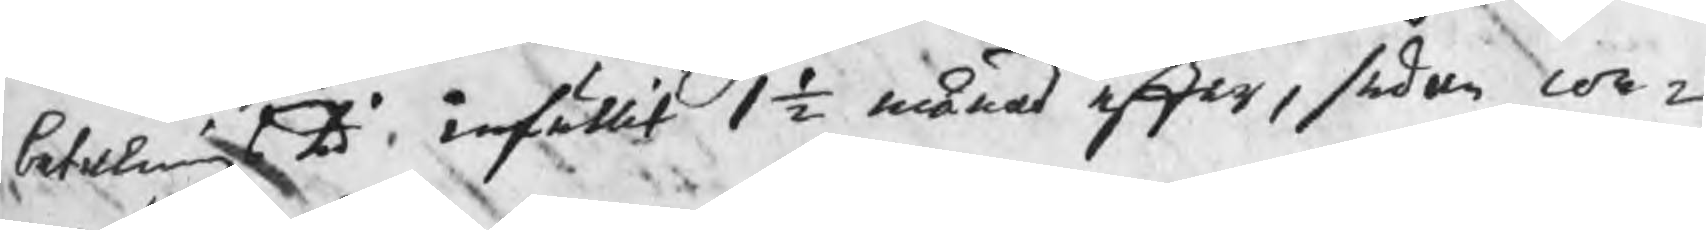betalningstid infällit 1 ½ månad efter, sedan con¬
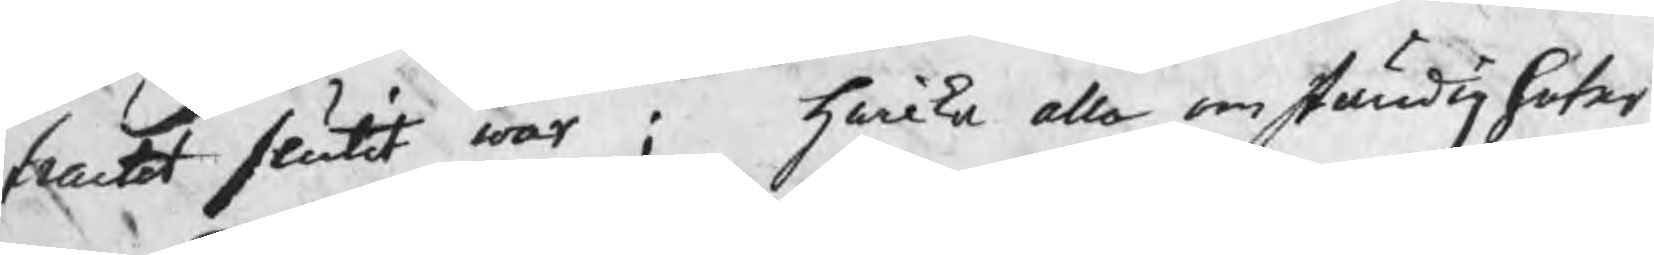tractet slutit war ; hwilka alla omständigheter
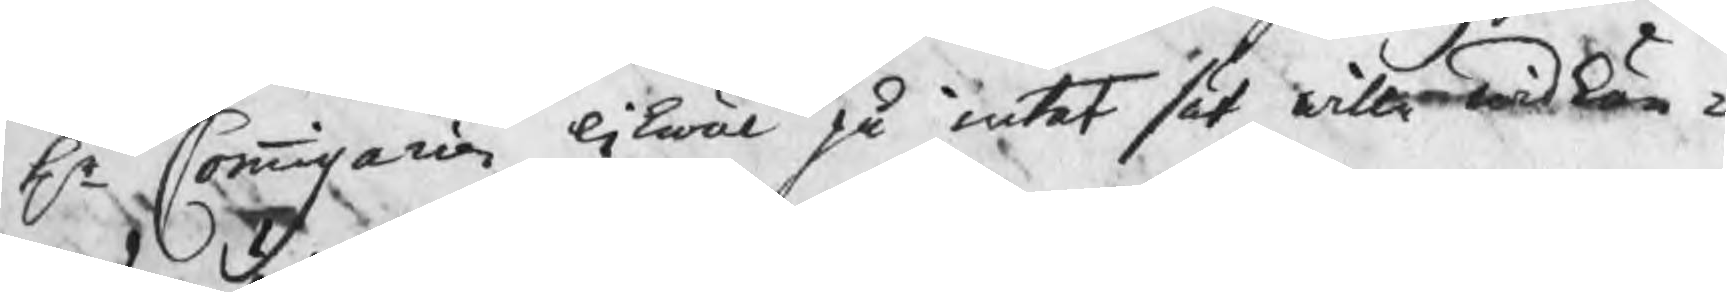Hr Commissarien likwäl på intet sät wille widkän¬
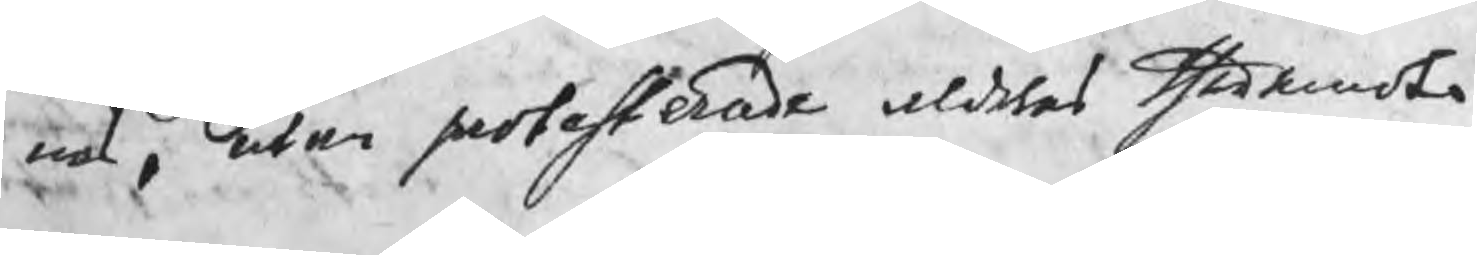nas, utan protesterade aldeles theremot. 
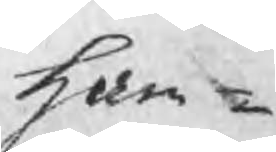Ham¬
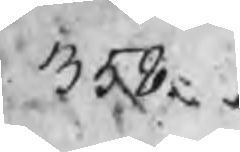358
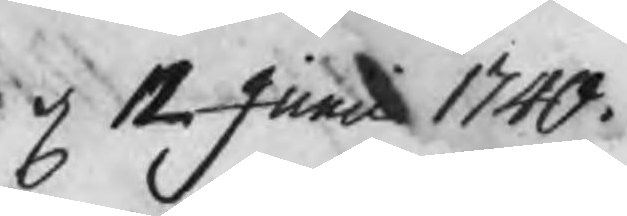d 12 Junii 1740.
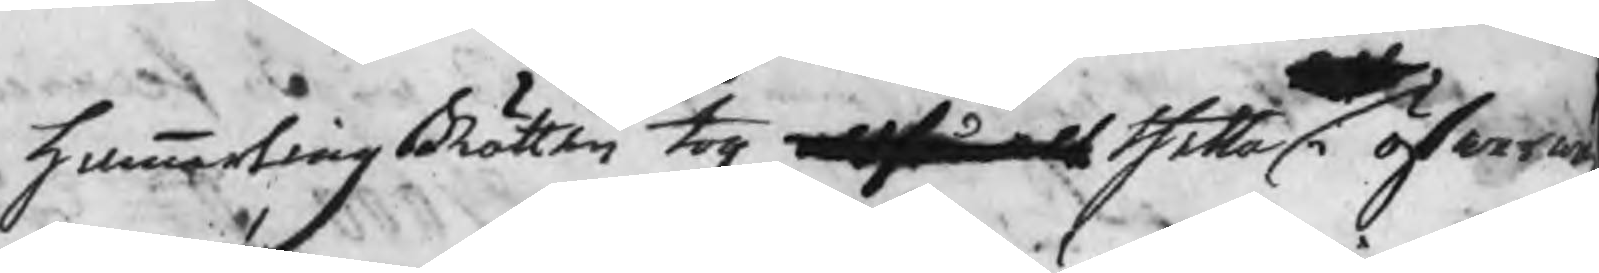HammartingsRätten tog altså alt thetta i öfwerwä
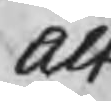alt
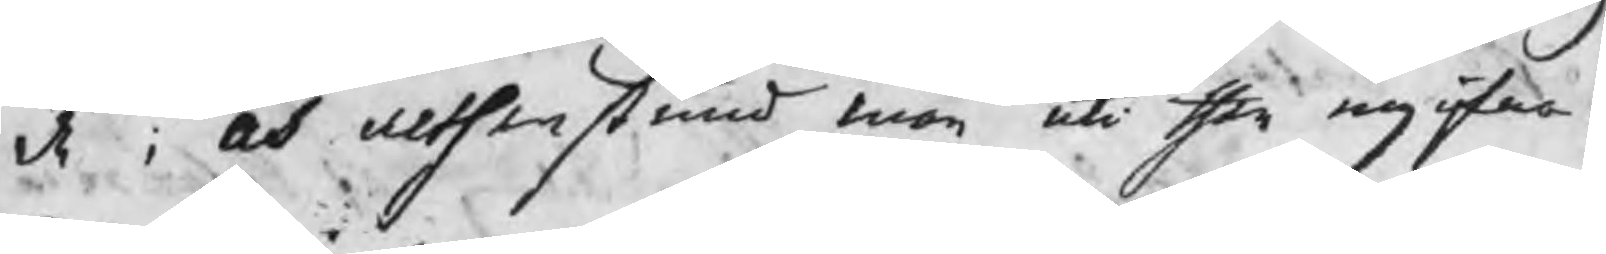de ; och althenstund man uti then ingifna 1
